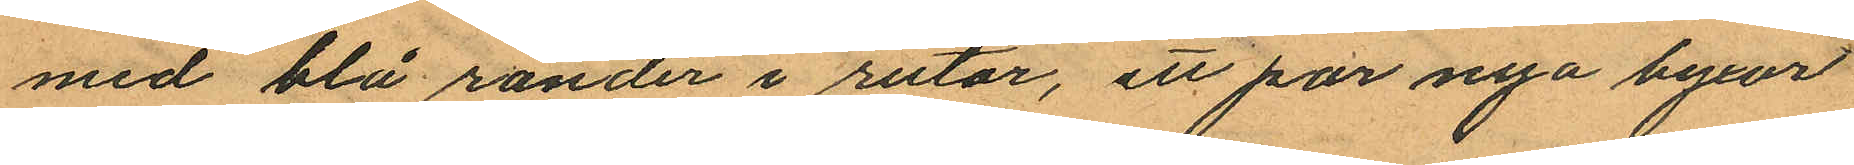med blå ränder i rutor, ett par nya byxor
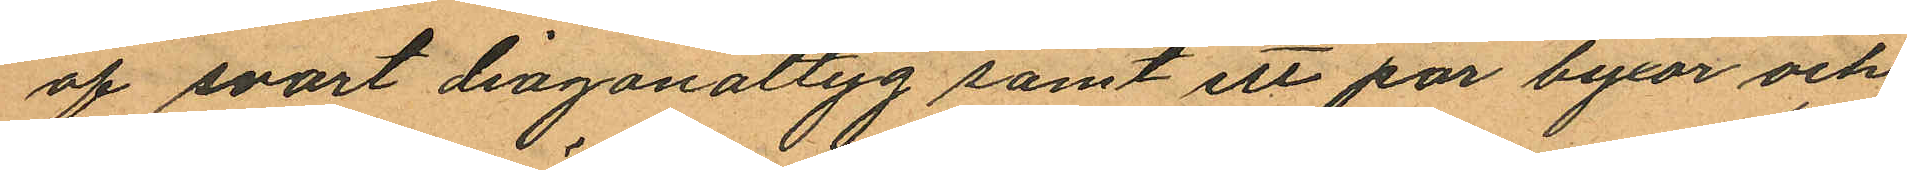af svart diagonaltyg samt ett par byxor och
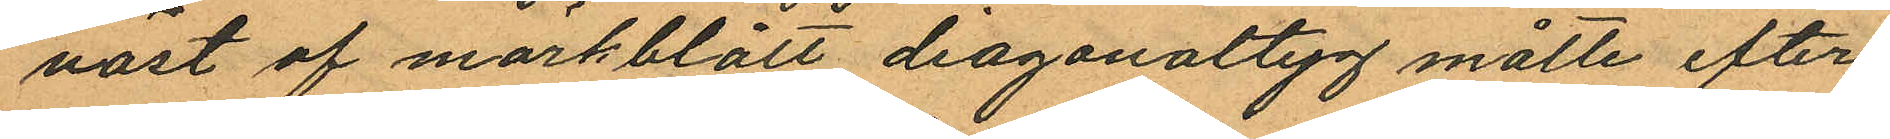väst af mörkblått diagonaltyg måtte efter¬
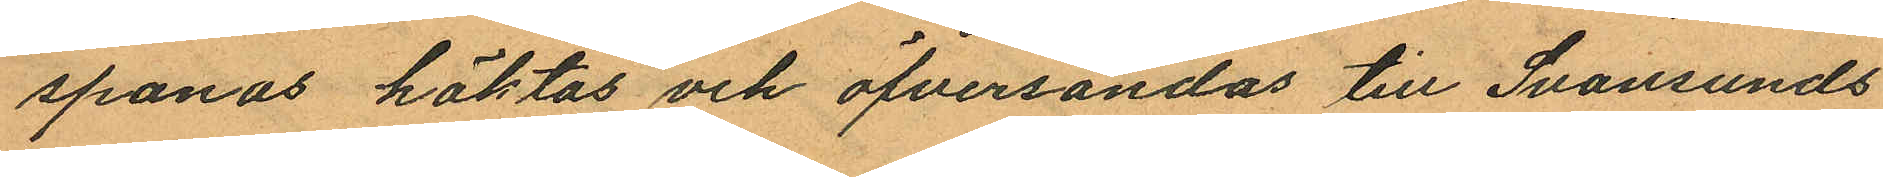spanas häktas och öfversändas till Svansunds
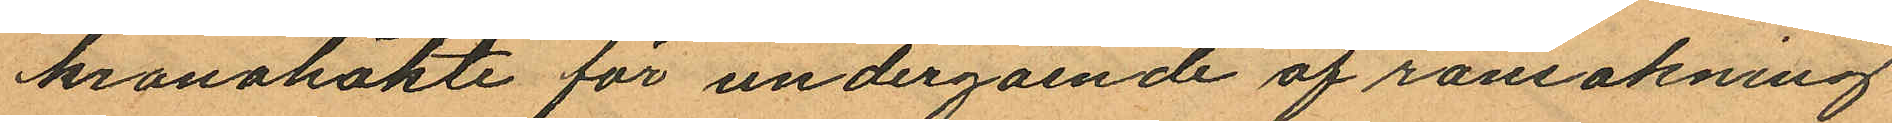kronohäkte för undergående af ransakning
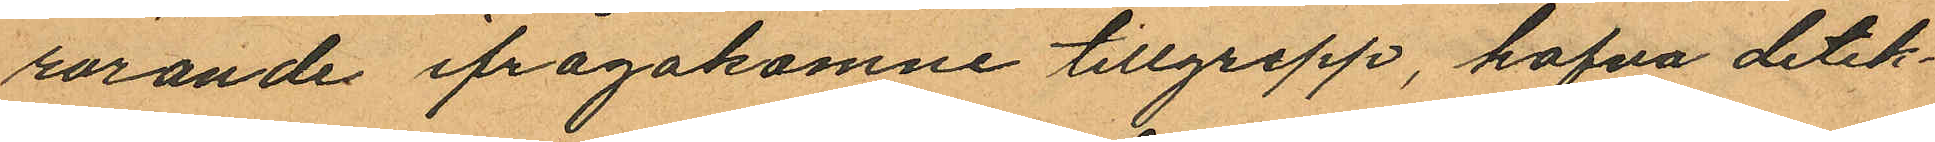rörande ifrågakomne tillgrepp, hafva detek¬
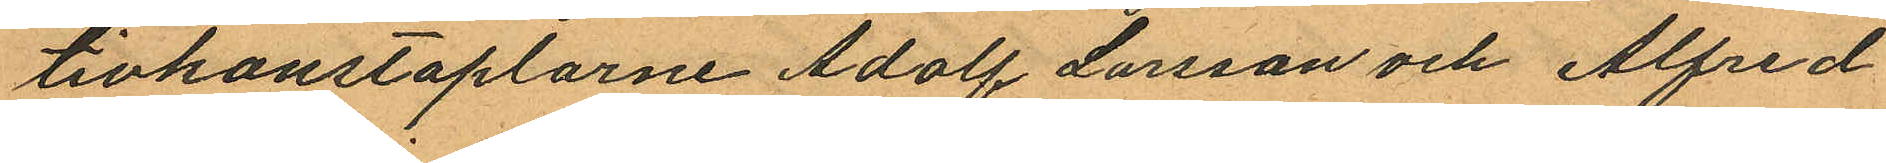tivkonstaplarne Adolf Larsson och Alfred
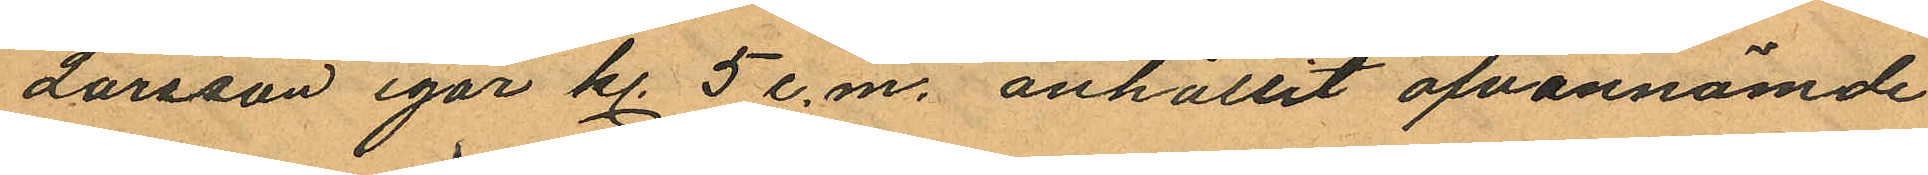Larsson igår kl. 5 e.m. anhållit ofvannämde
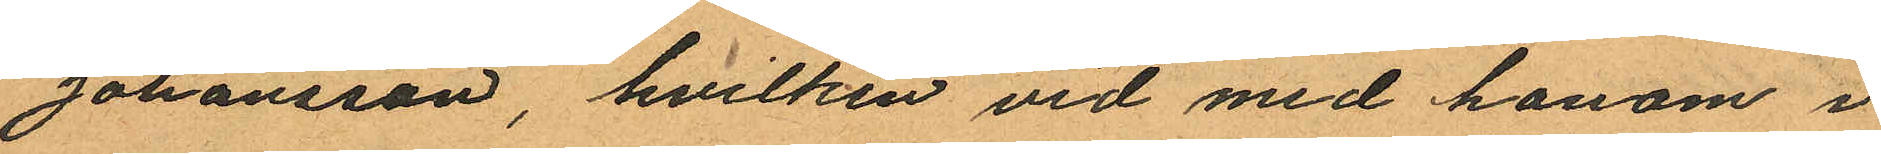Johansson, hvilken vid med honom i
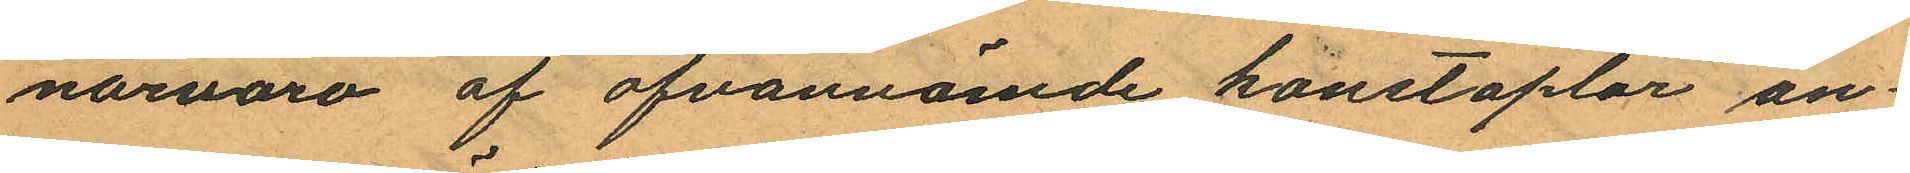närvaro af ofvannämde konstaplar an¬
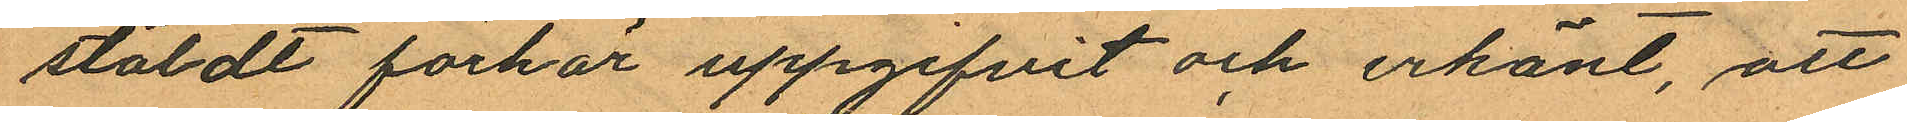stäldt förhör uppgifvit och erkänt, att
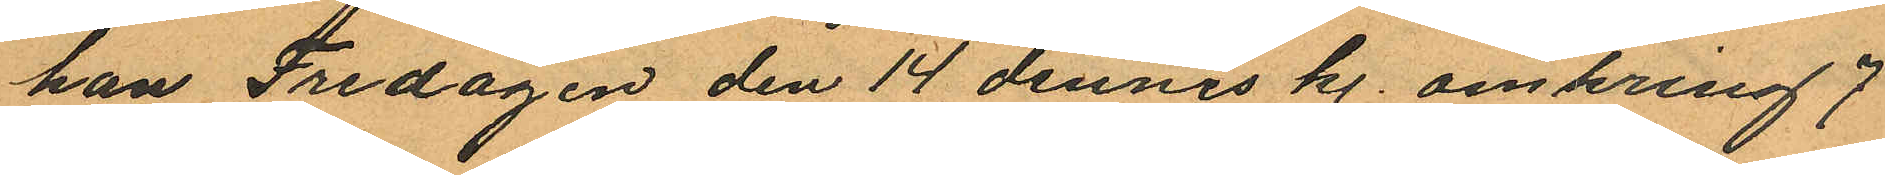han Fredagen den 14 dennes kl. omkring 7
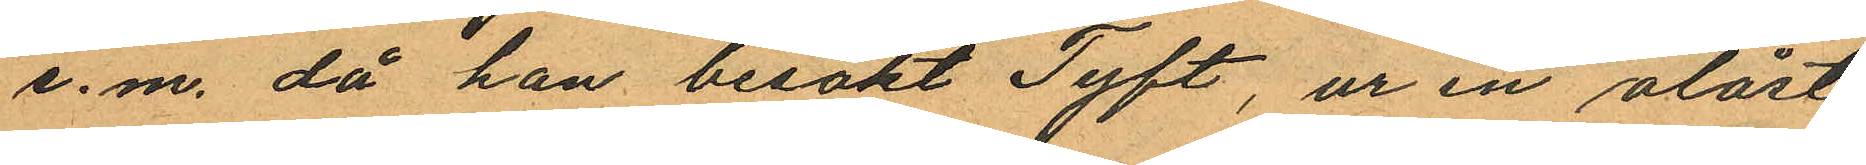e.m. då han besökt Tyft, ur en olåst
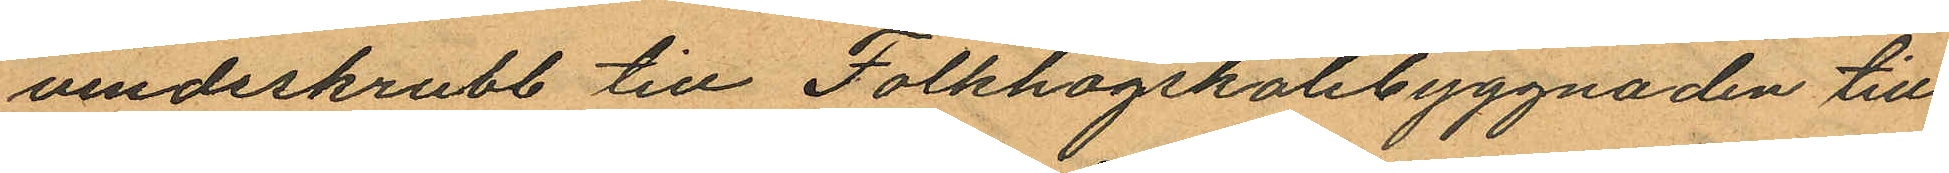vindsskrubb till Folkhogskolebyggnaden till¬
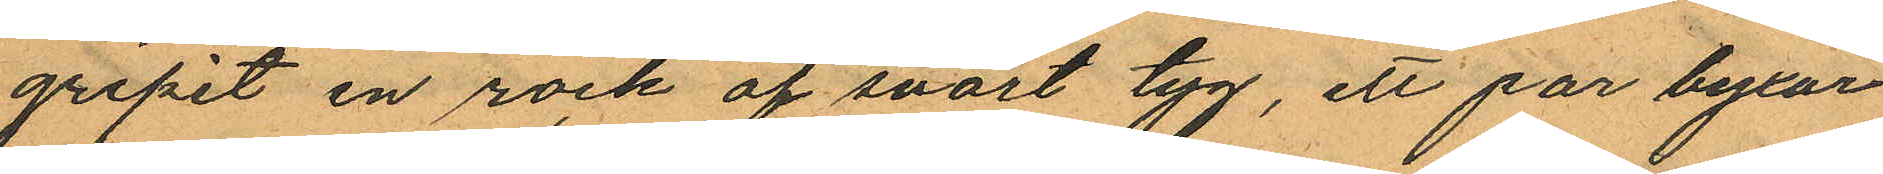gripit en rock af svart tyg, ett par byxor
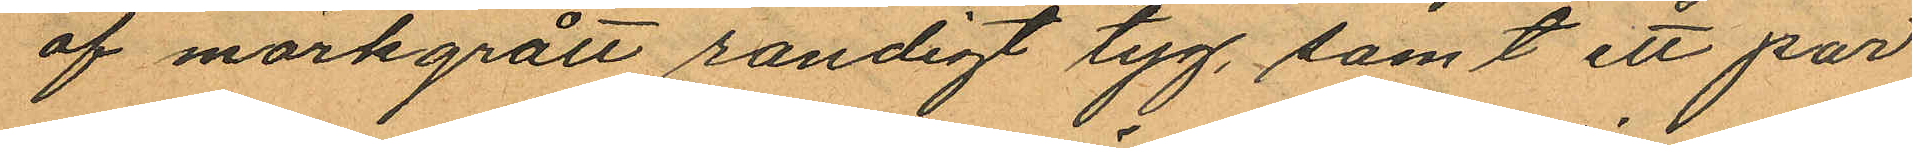af mörkgrått randigt tyg, samt ett par
